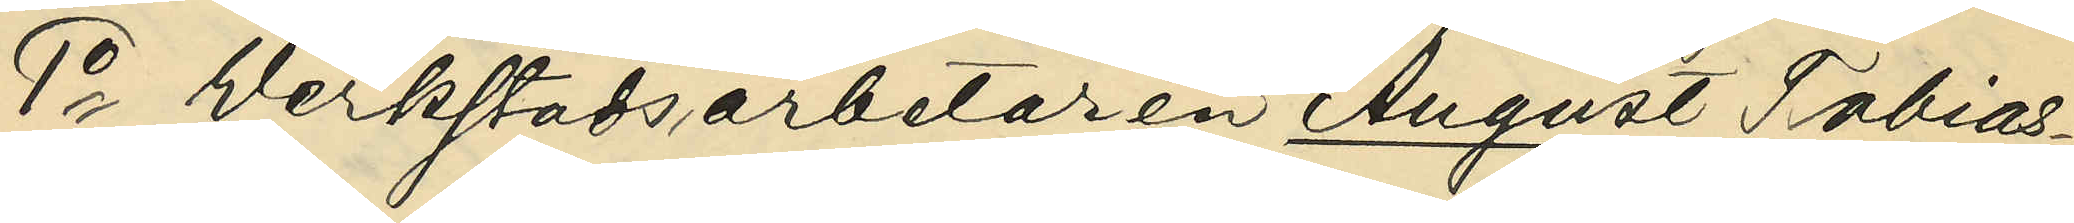1o Werkstadsarbetaren August Tobias¬
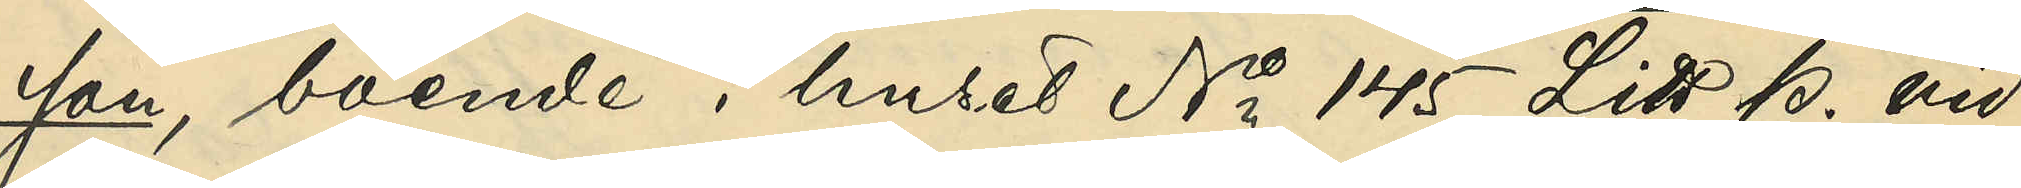son, boende i huset No 145 Litt P. vid
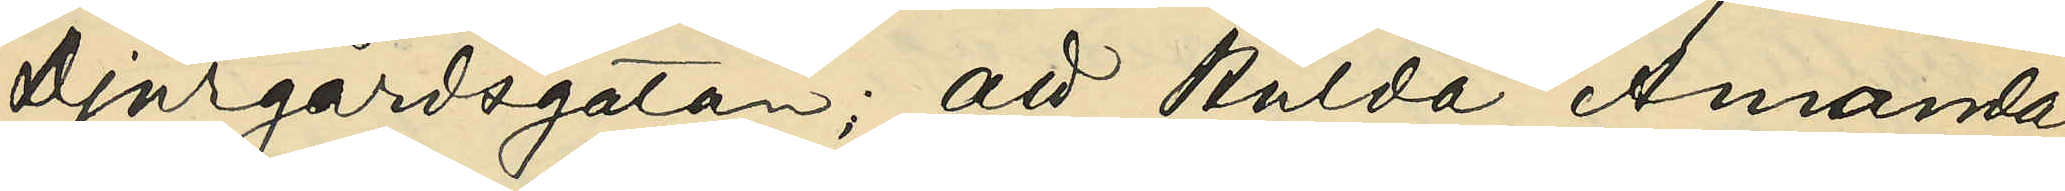Djurgårdsgatan; att Hulda Amanda
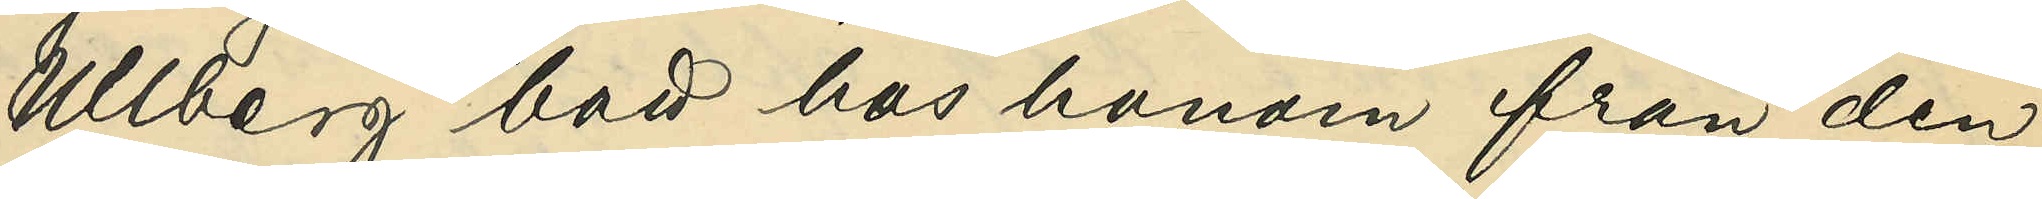Ullberg bott hos honom från den
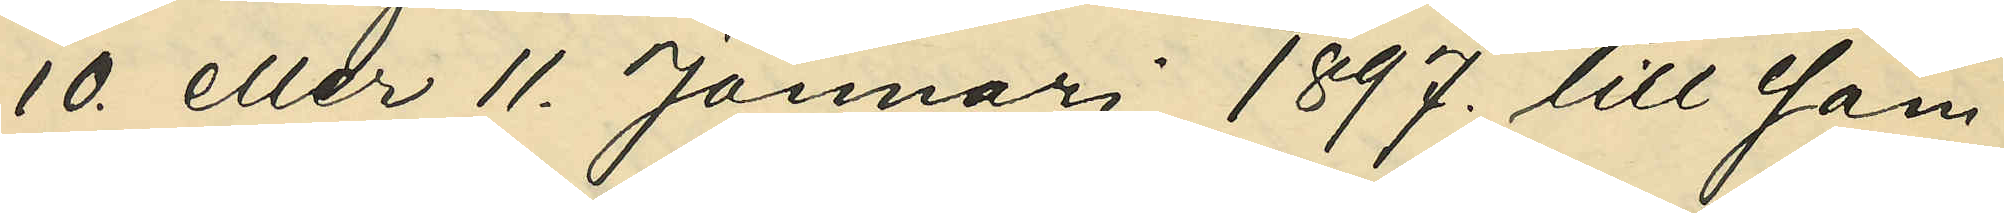10. eller 11. Januari 1897. till sam¬
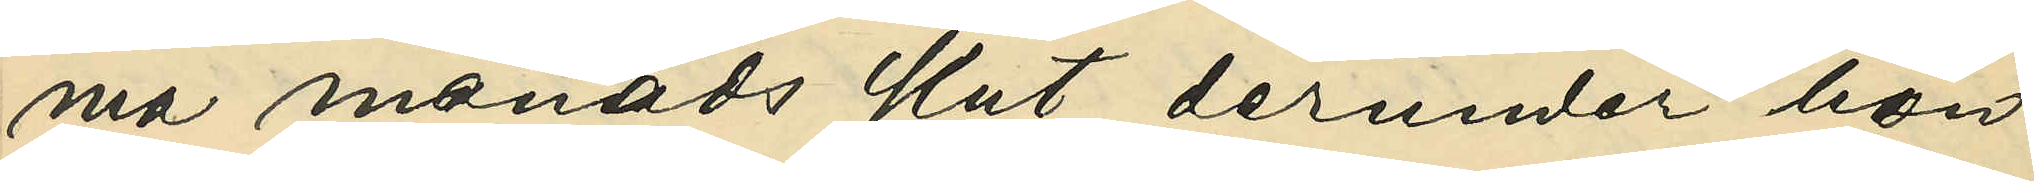ma månads slut, derunder hon
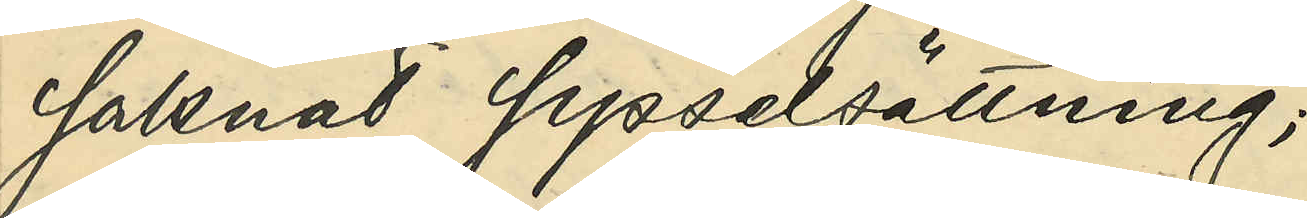saknat sysselsättning;
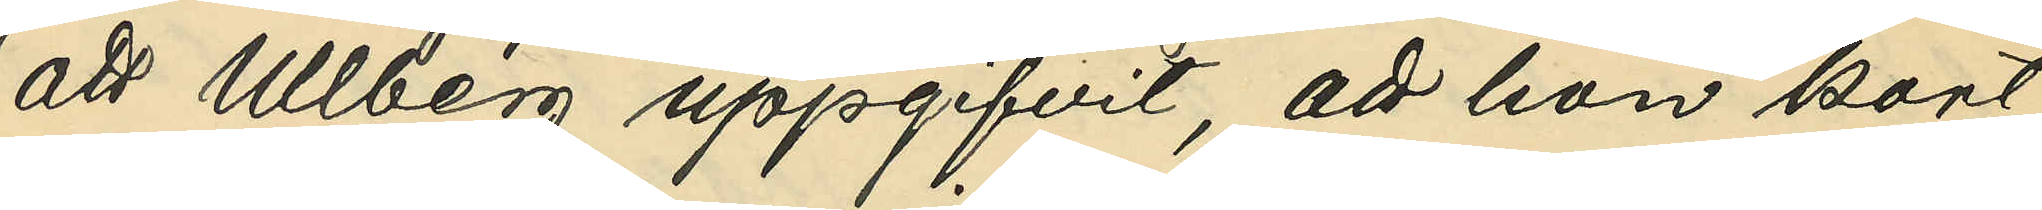att Ullberg uppgifvit, att hon kort
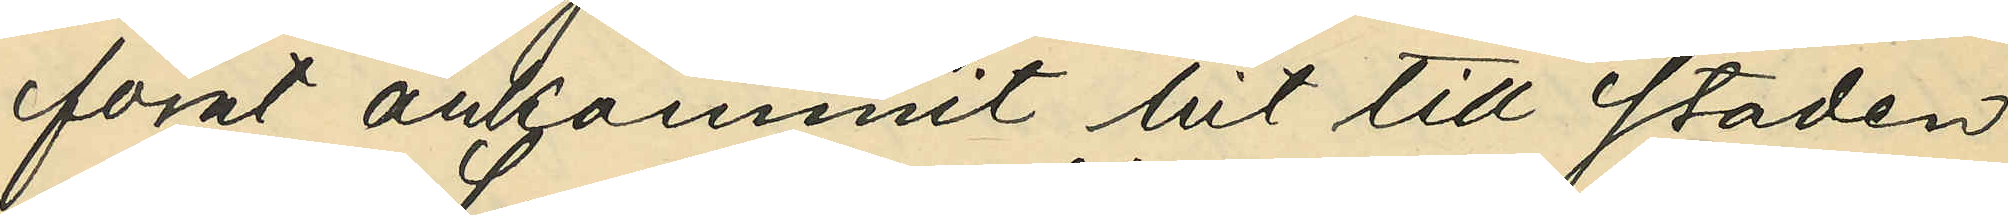förut ankommit hit till staden
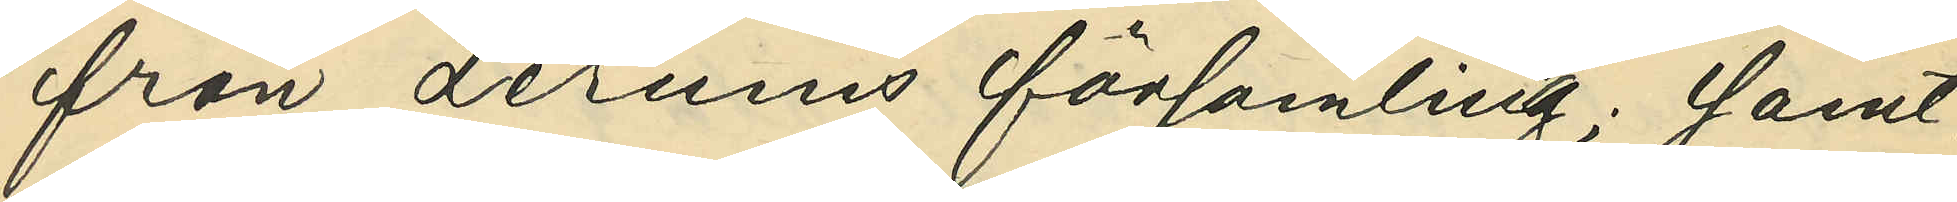från Lerums församling; samt
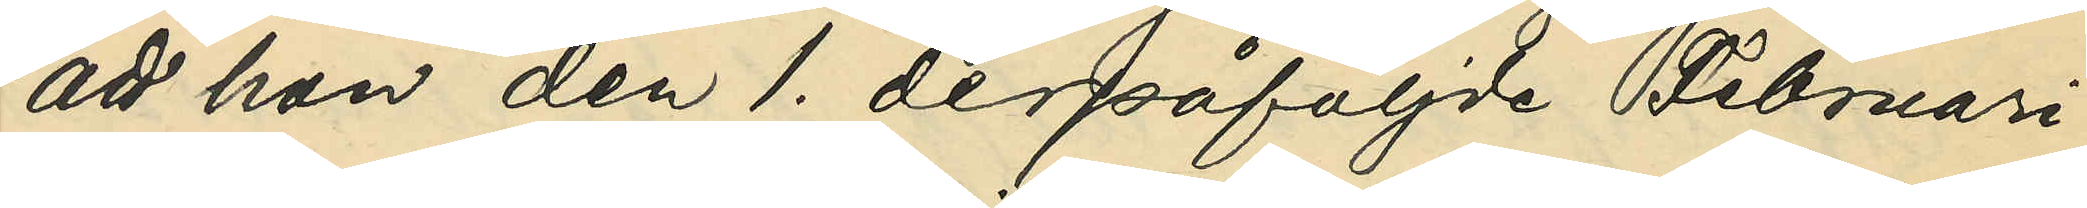att hon den 1. derpåföljde Februari
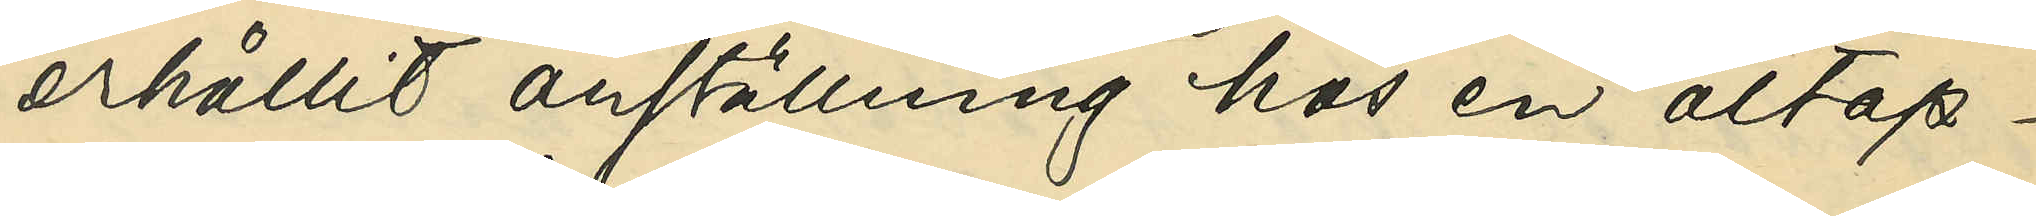erhållit anställning hos en öltap¬
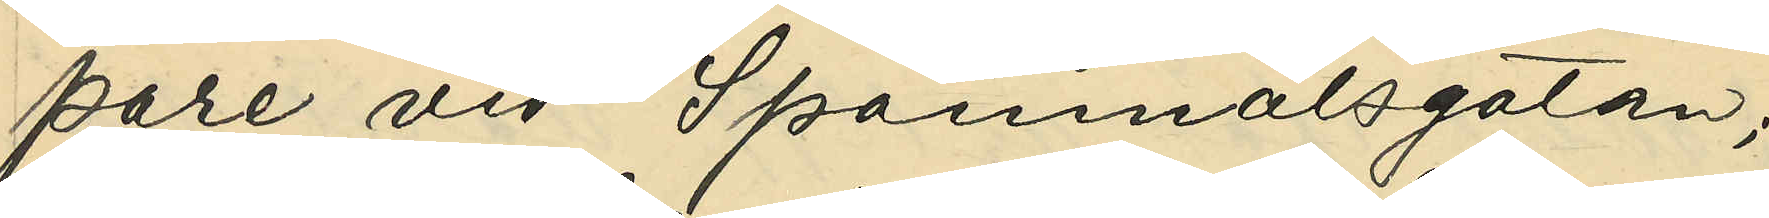pare vid Spannmålsgatan;
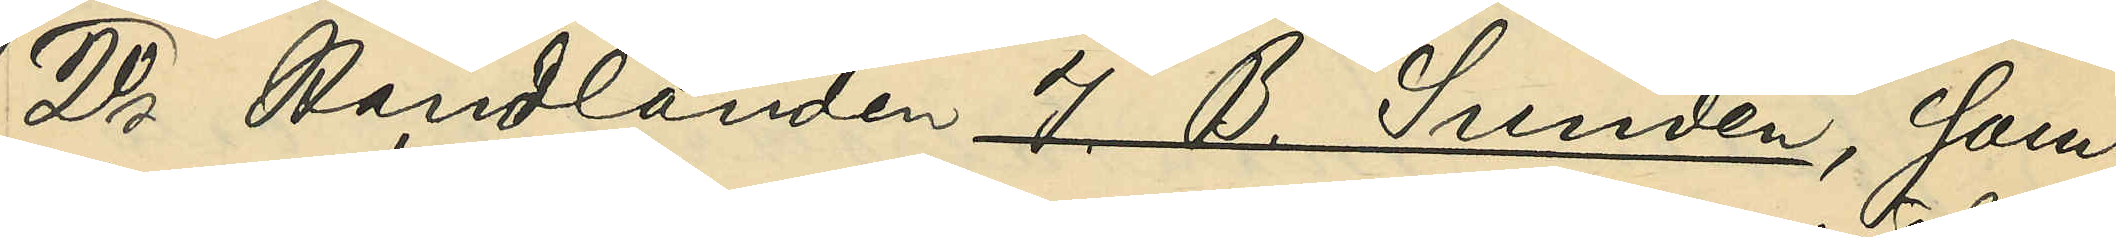2o Handlanden J. B. Sundén, som
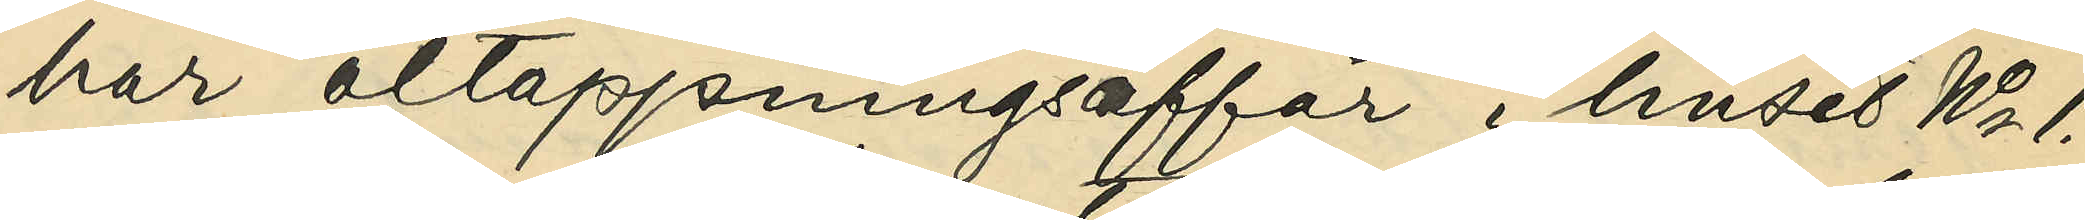har öltappningsaffär i huset No 1.
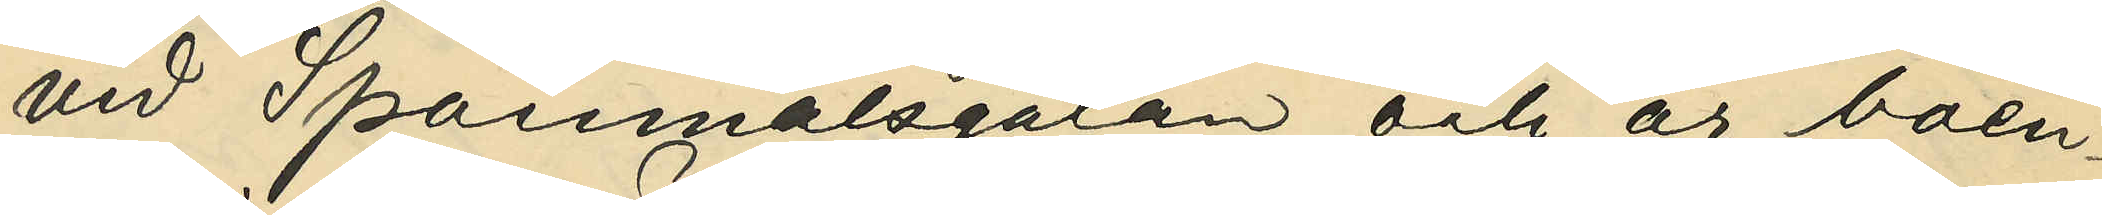vid Spannmålsgtan och är boen¬
